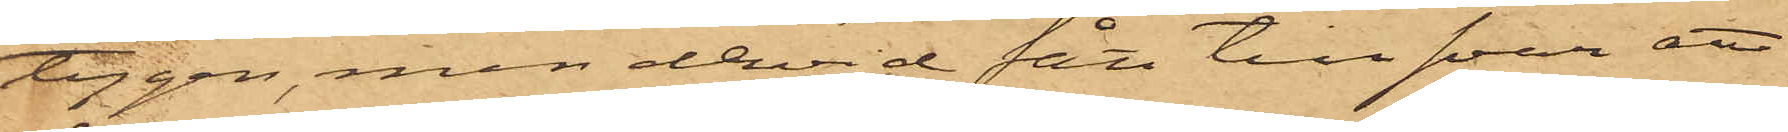tygen, men dervid fått till svar att
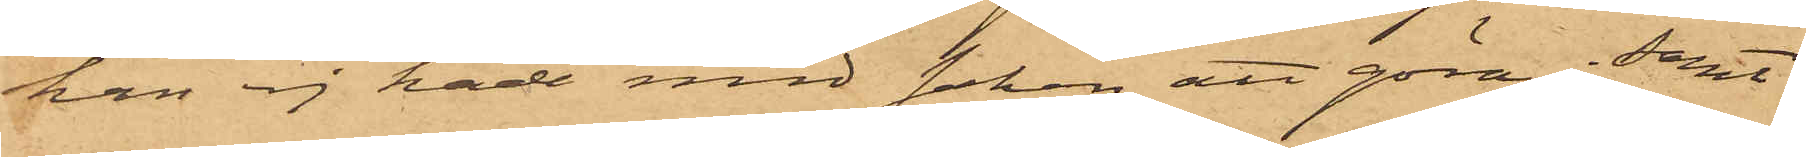han ej hade med saken att göra; samt
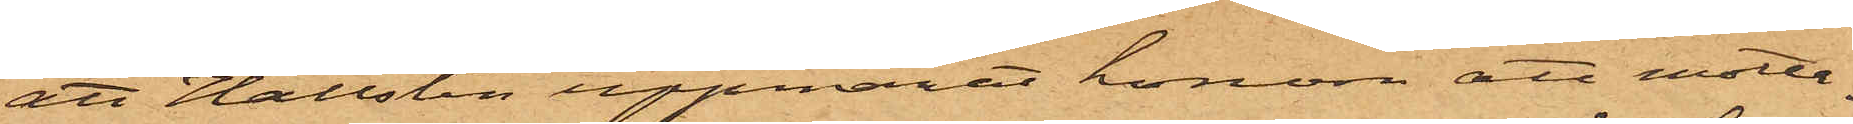att Hallsten uppmant honom att motta¬
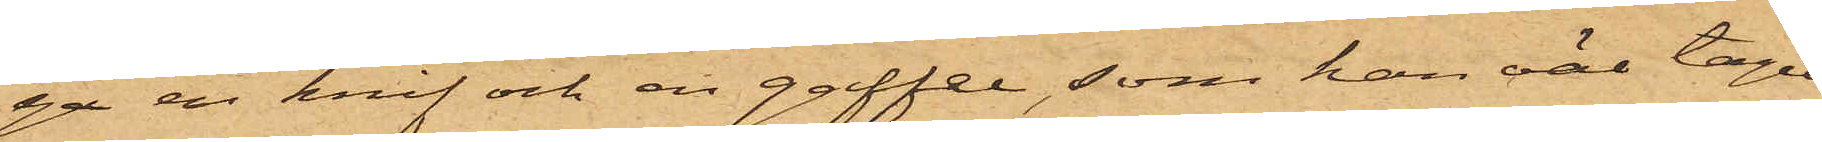ga en knif och en gaffel, som han väl tagit
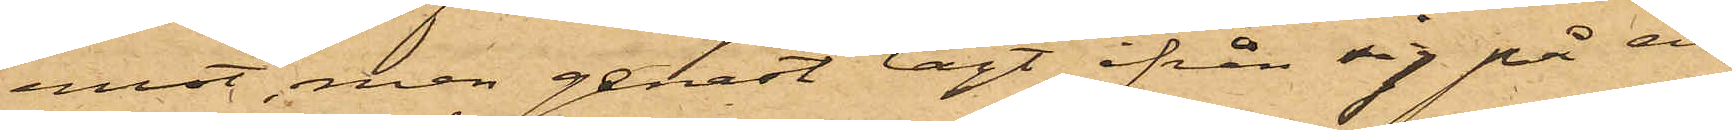emot, men genast lagt ifrån sig på en
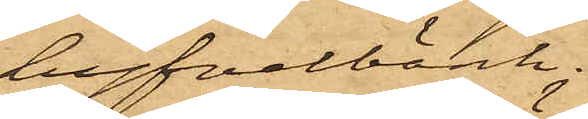hyfvelbänk.
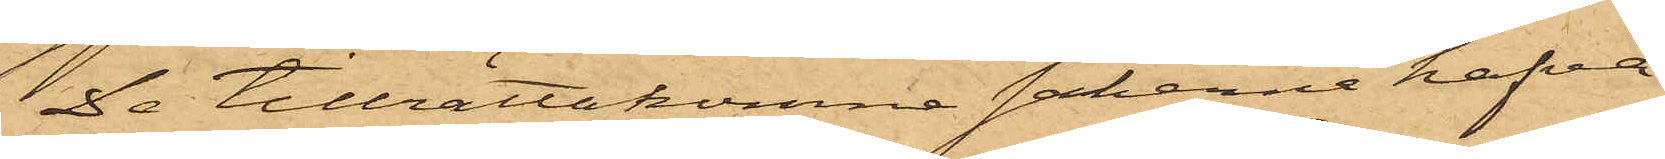De tillrättakomne sakerne hafva
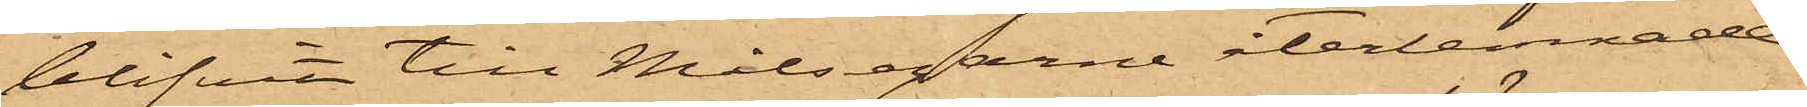blifvit till Målsegarne återlemnade.
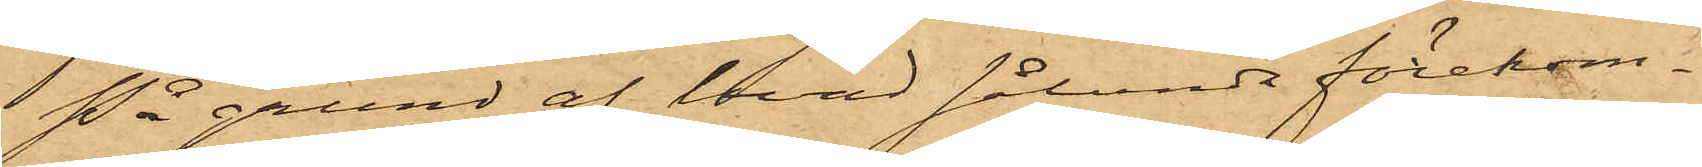På grund af hvad sålunda förekom¬
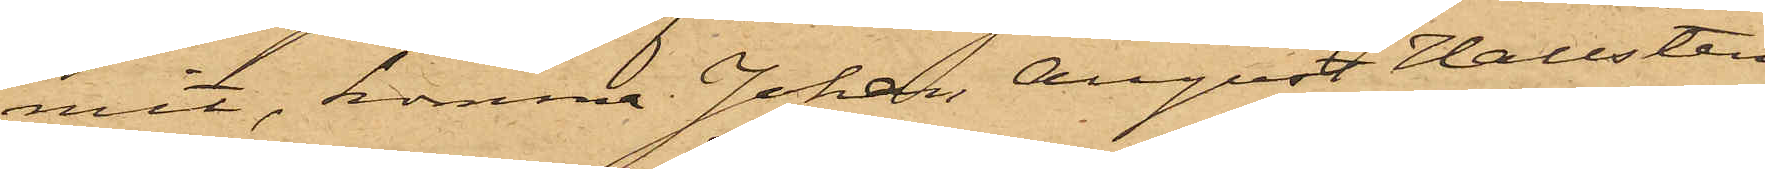mit, kommer Johan August Hallsten
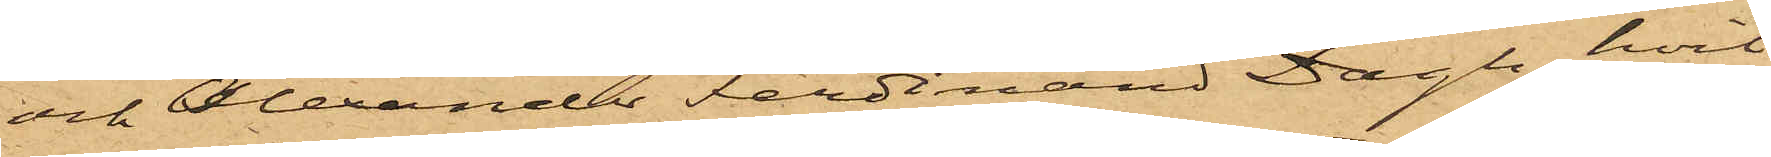och Alexander Ferdinand Dagh, hvil¬
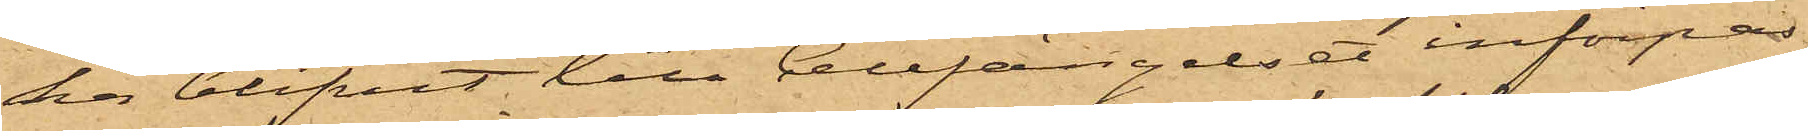ka blifvit till Cellfängelset införpas¬
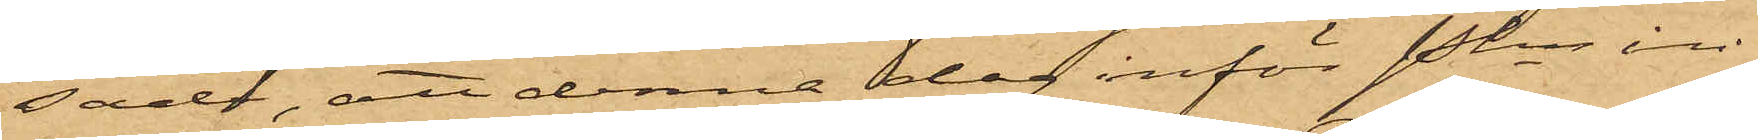sade, att denna dag inför Pkn in¬
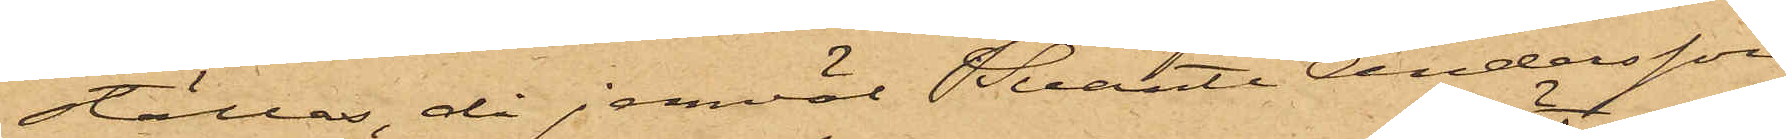ställas, då jemväl Svante Andersson
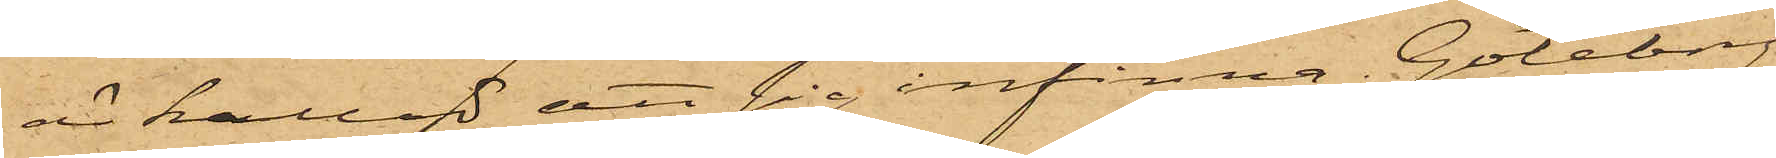är kallad att sig infinna. Göteborg
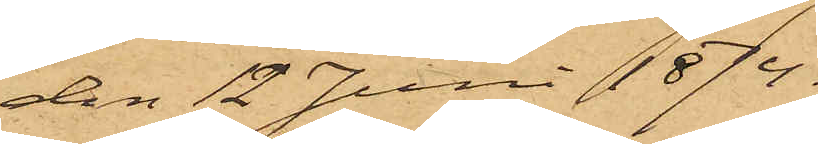den 12 Juni 1874.
